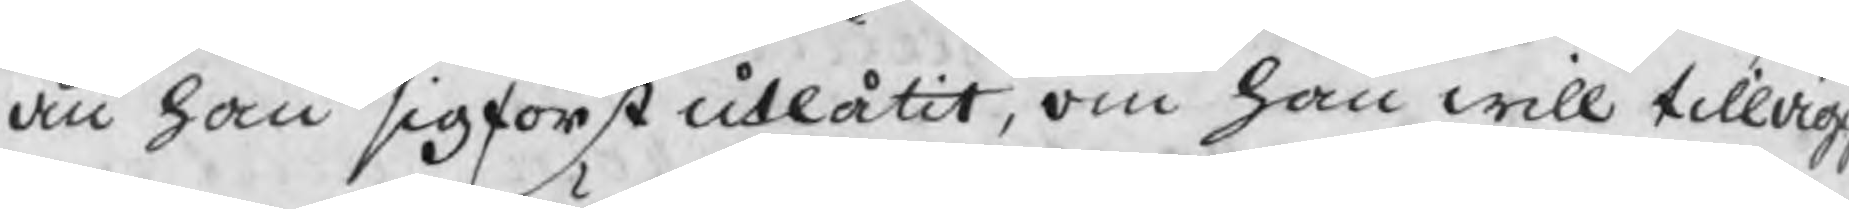än han sig först utlåtit, om han will tillägg
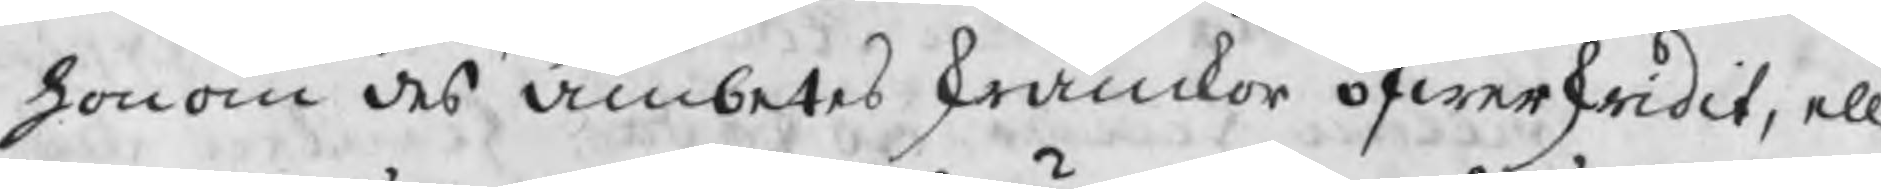honom des ämbetes skrankor öfwerskridit, ell
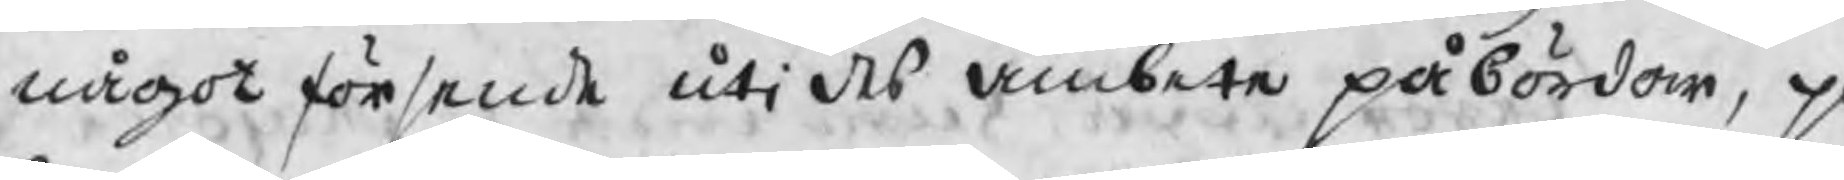något försende uti des ämbete påbördom, på
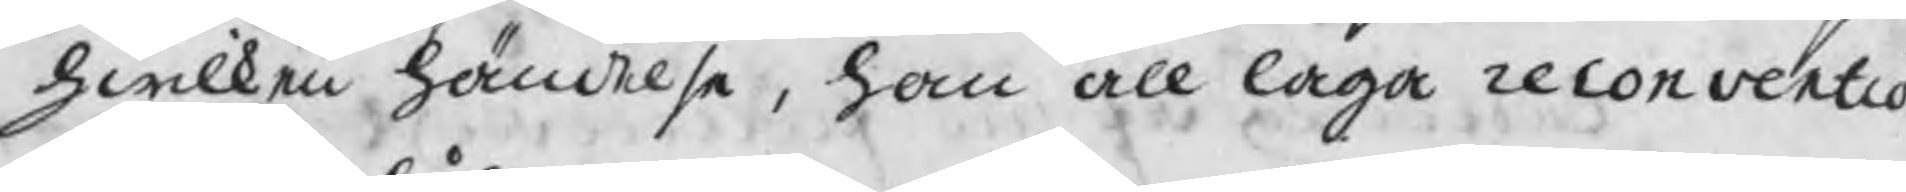hwilken händelse, han all laga reconventio
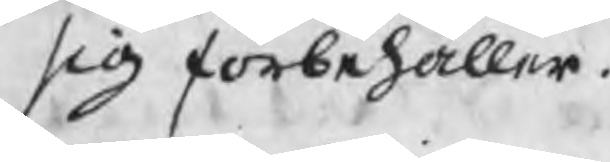sig förbehåller.
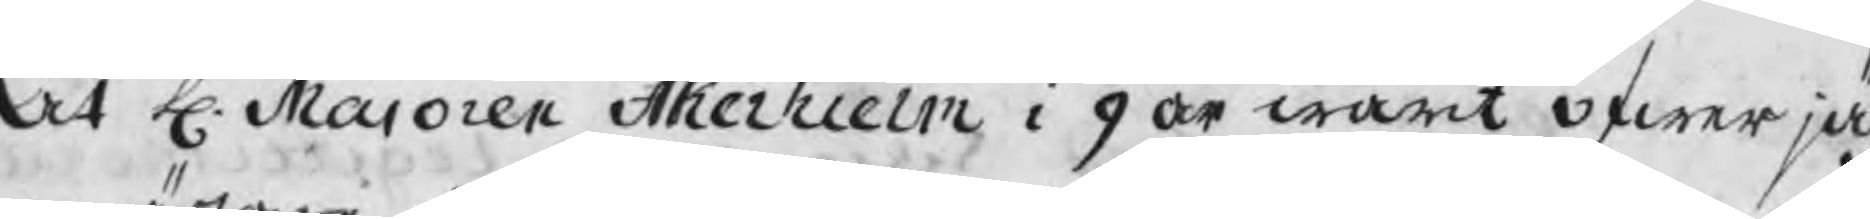At H. Maioren Åkerhielm i 9 år warit öfwerjäg
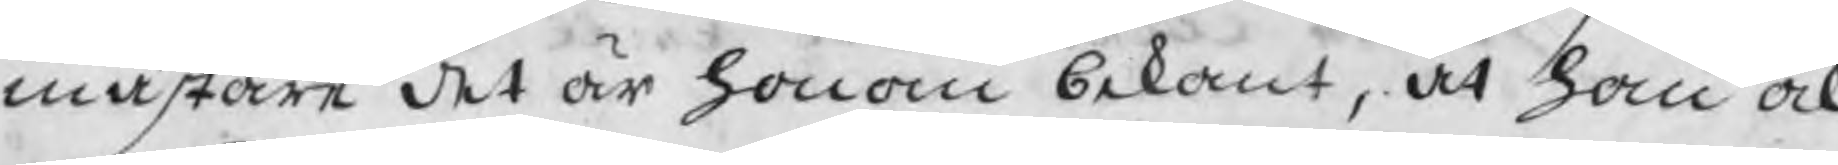mästare det är honom bekant, at han ock
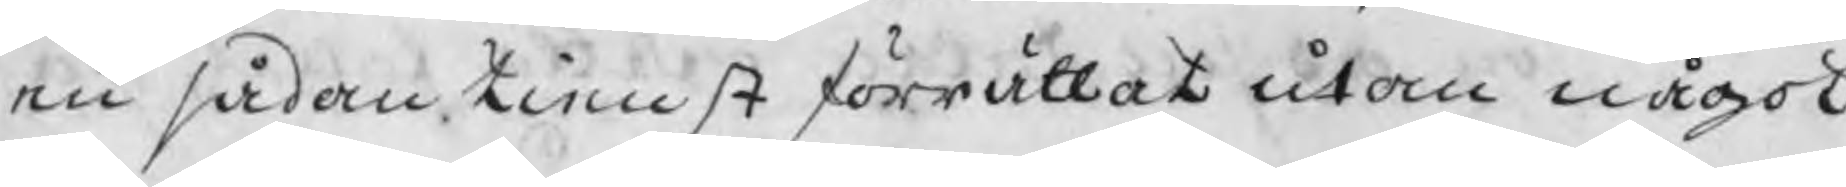en sådan tienst förrättat utan något
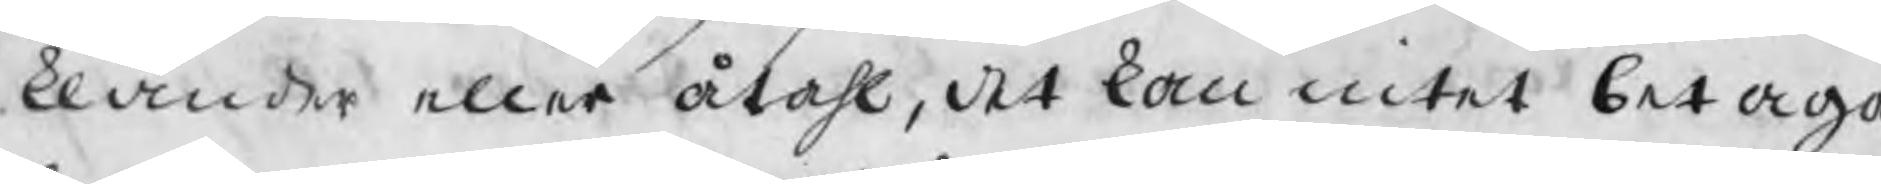klander eller åtahl, det kan intet betaga
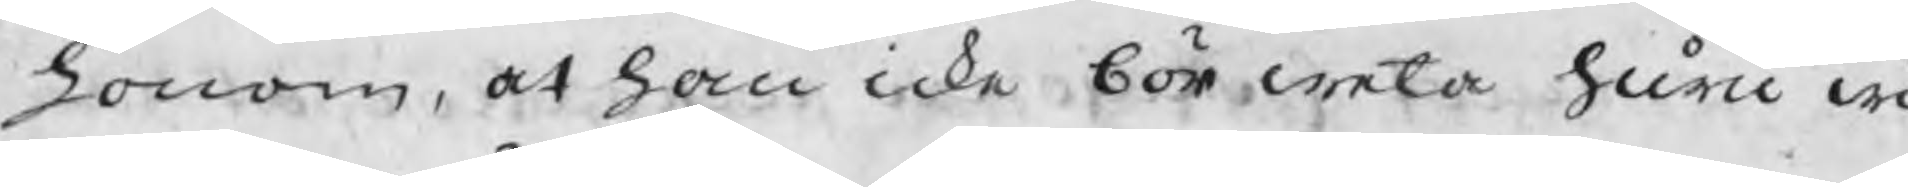honom, at han icke bör weta huru wi
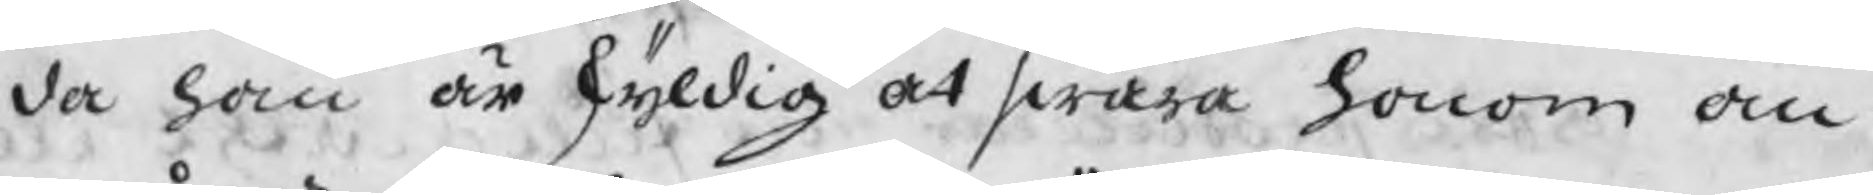da han är skyldig at swara honom an
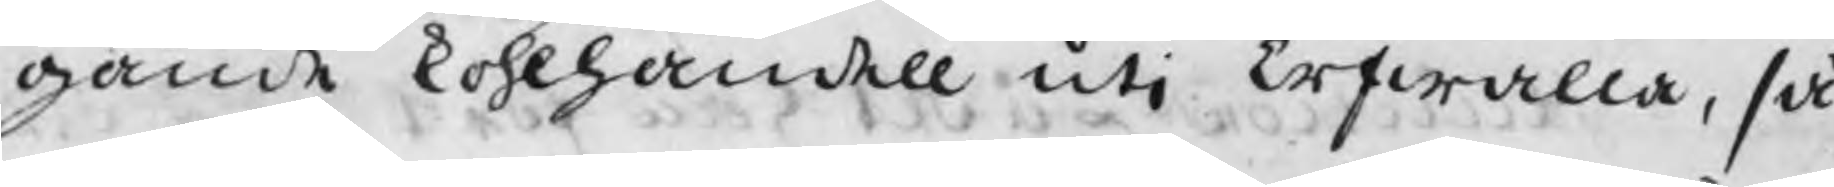gående kohlhandell uti Erfwalla, så
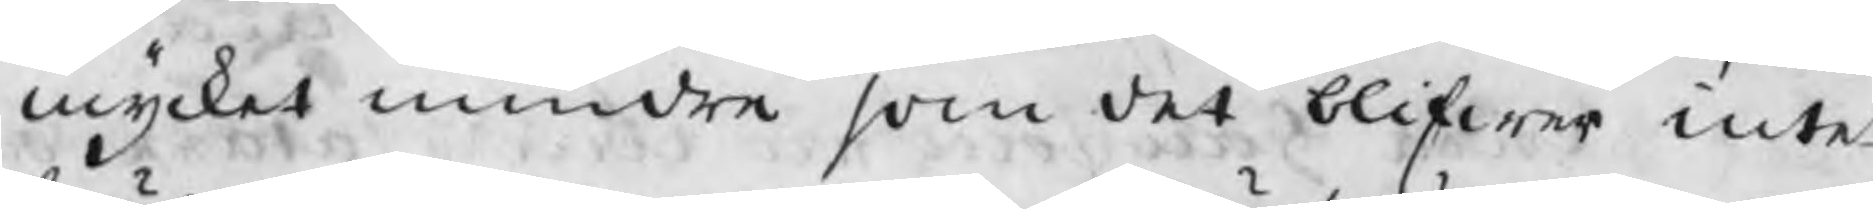mycket mindre som det blifwer intet
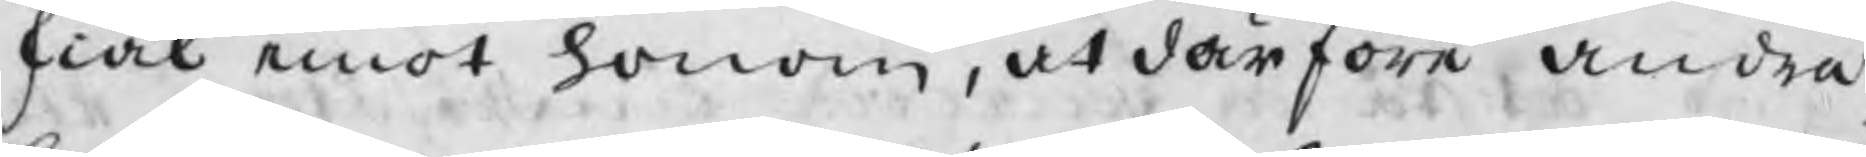skiäl emot honom, at därföre andra
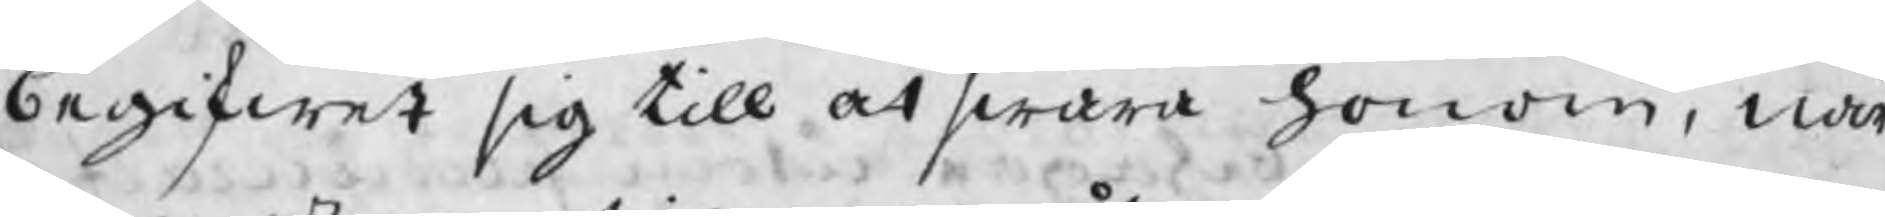begifwet sig till at swara honom, när
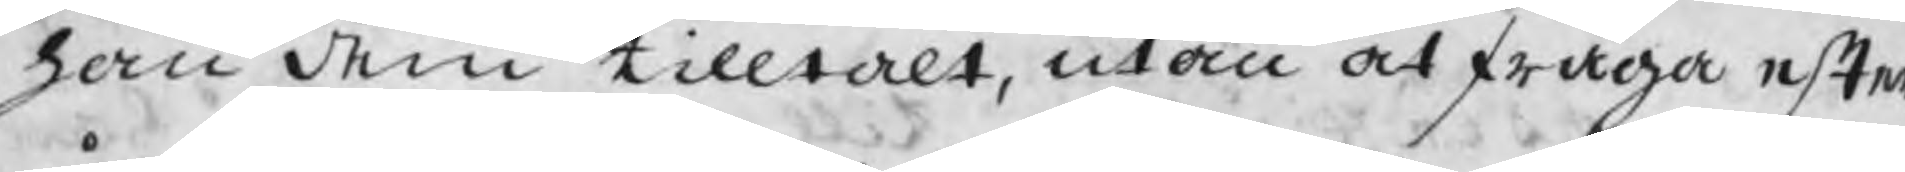han dem tilltalt, utan at fråga efter
